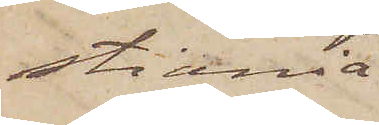stiania
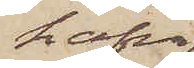hafva
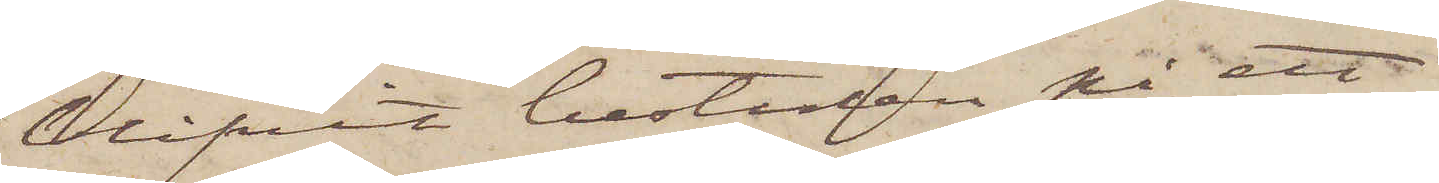blifvit bestulen på ett
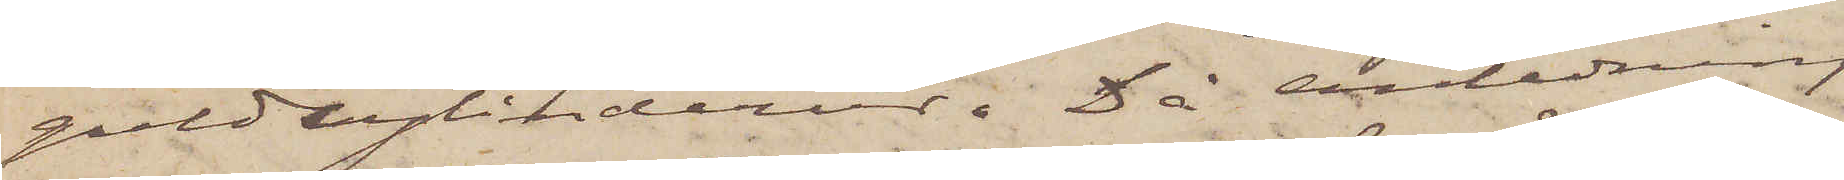guldcylinderur. Då anledning
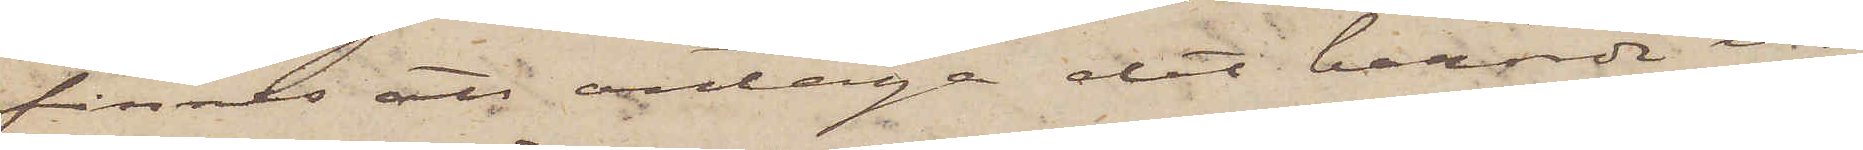finnes att antaga det berörde ur
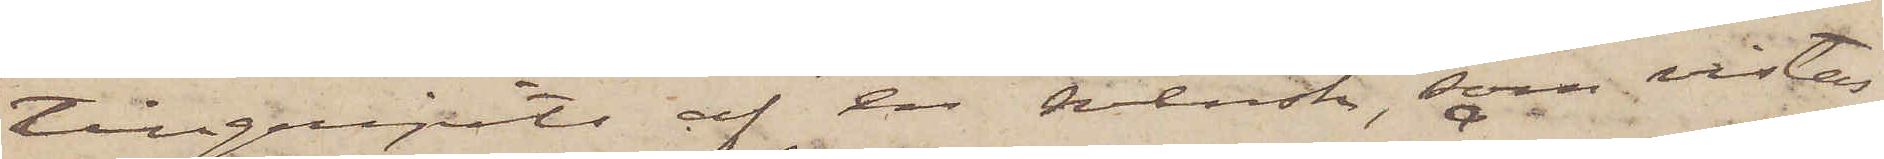tillgripits af en svensk, som vistas
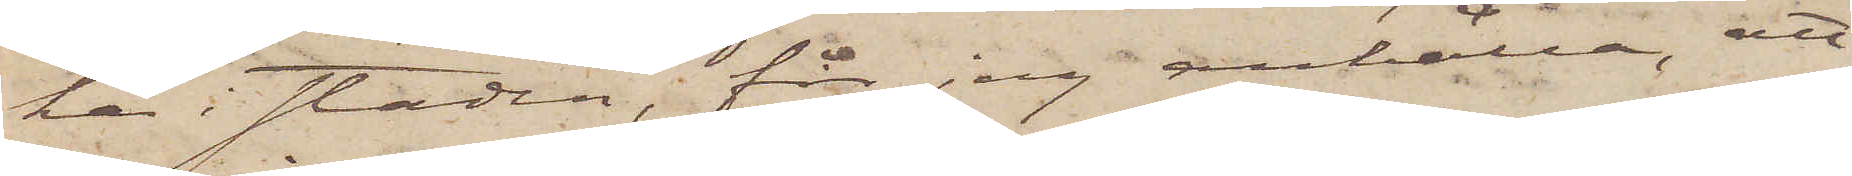här i staden, får jag anhålla, att
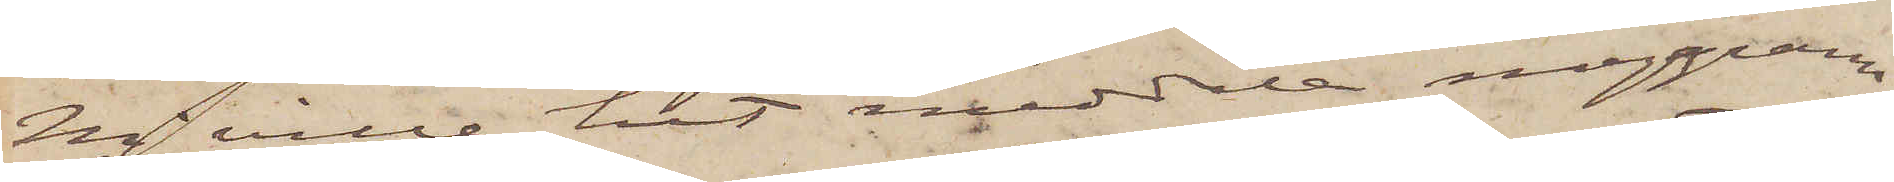Ni ville hit meddela noggrann
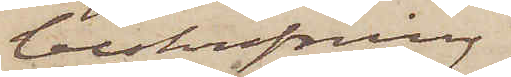beskrifning
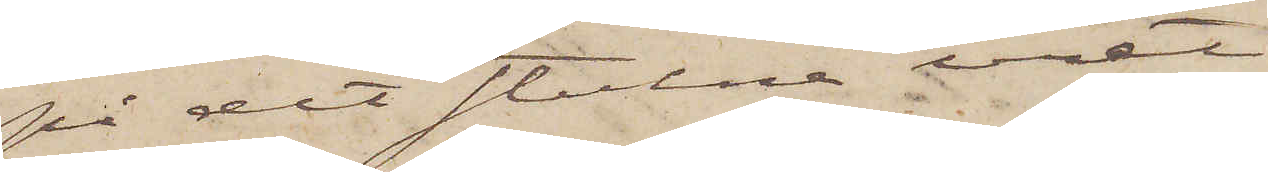på det stulne uret
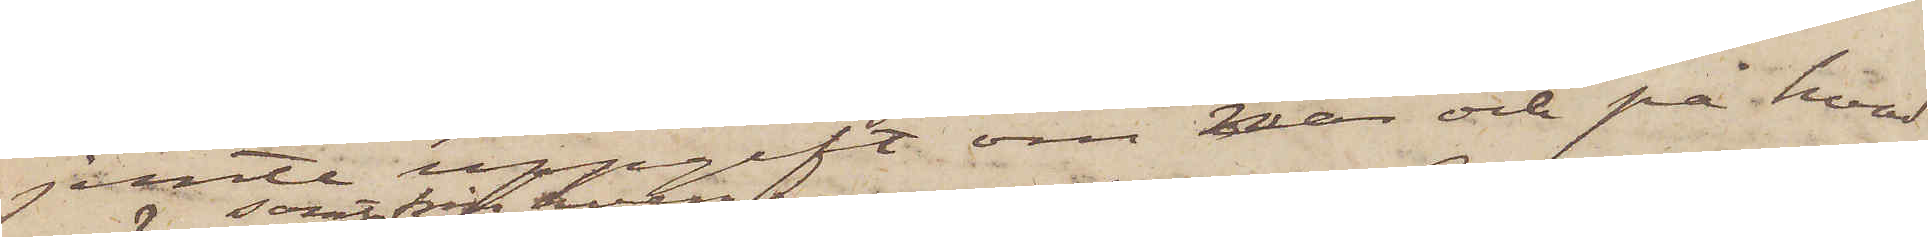jemte uppgift om när och på hvad
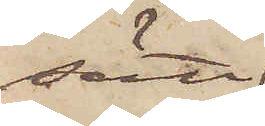sätt
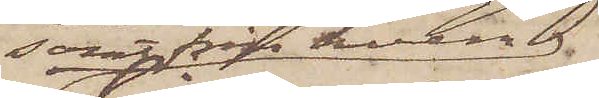samt från hvem
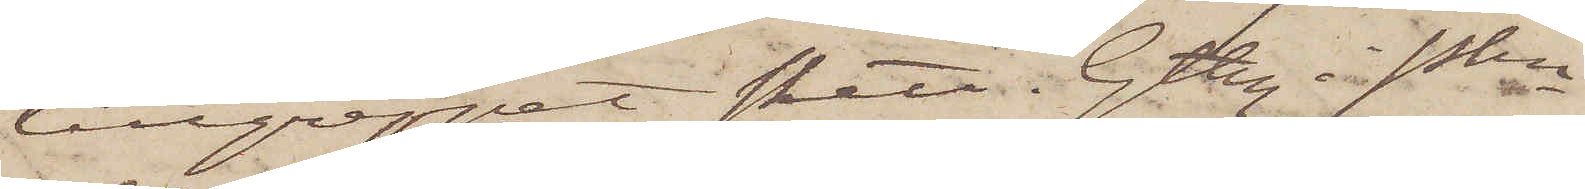tillgreppet skett. Gtbrg i Pkn
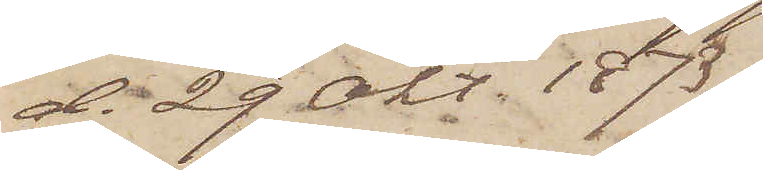d. 29 Okt. 1873.
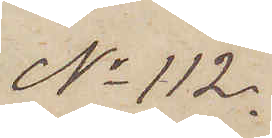No 112.
